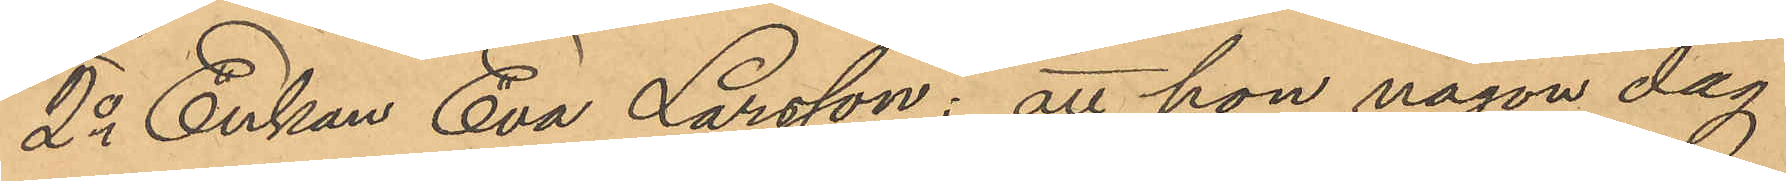2o Enkan Eva Larsson: att hon någon dag
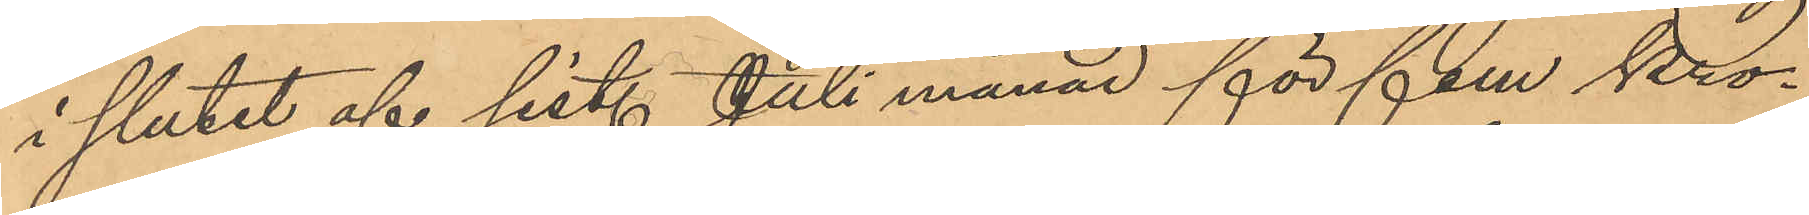i slutet af sist. Juli månad för fem Kro¬
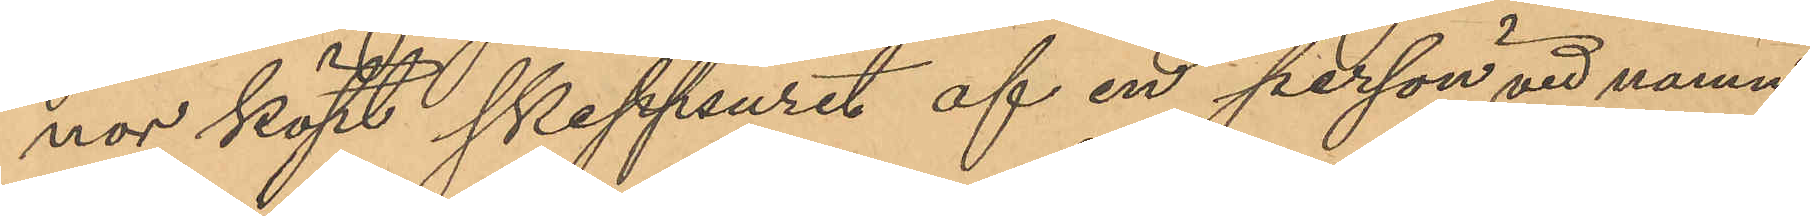nor köpt skeppsuret af en person vid namn
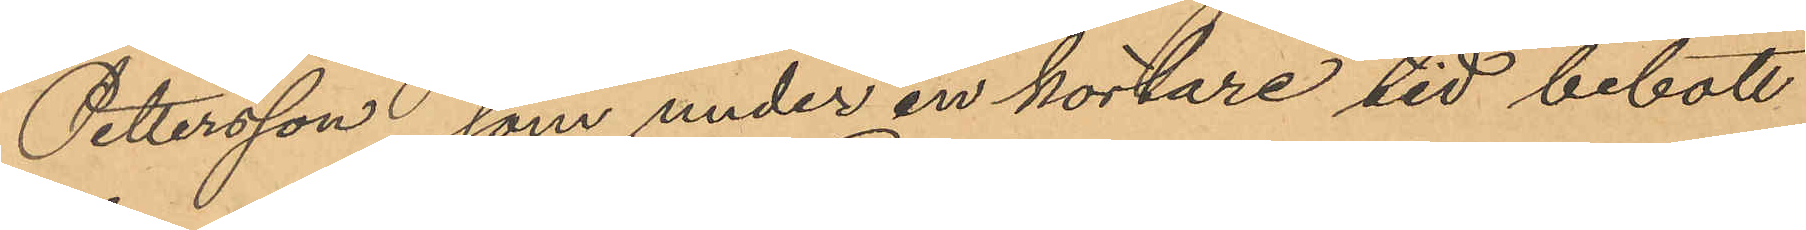Pettersson, som under en kortare tid bebott
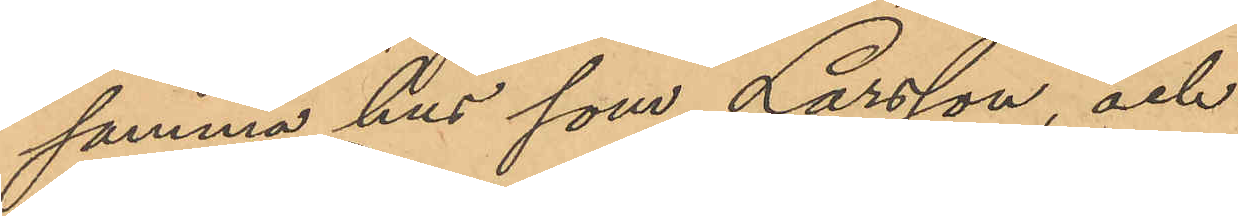samma hus som Larsson, och
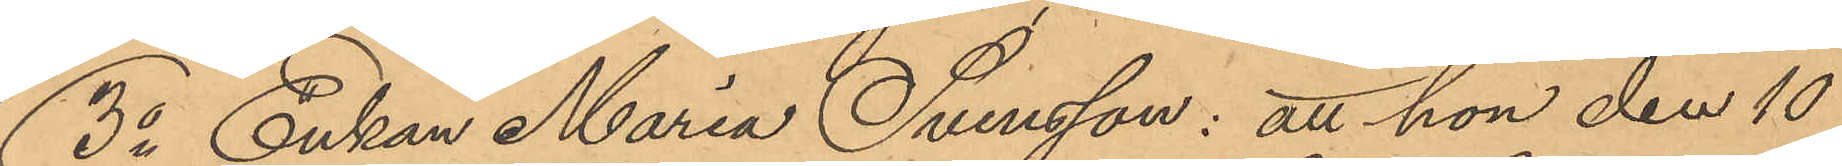3o Enkan Maria Svensson: att hon den 10
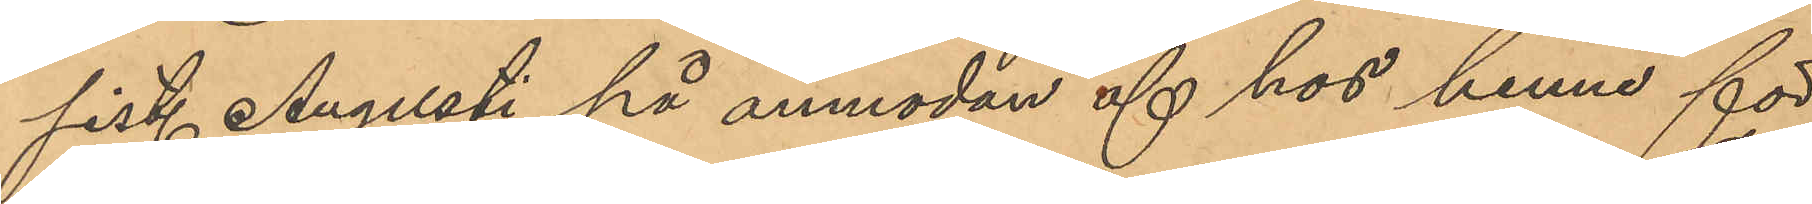sist. Augusti, på anmodan af hos henne för
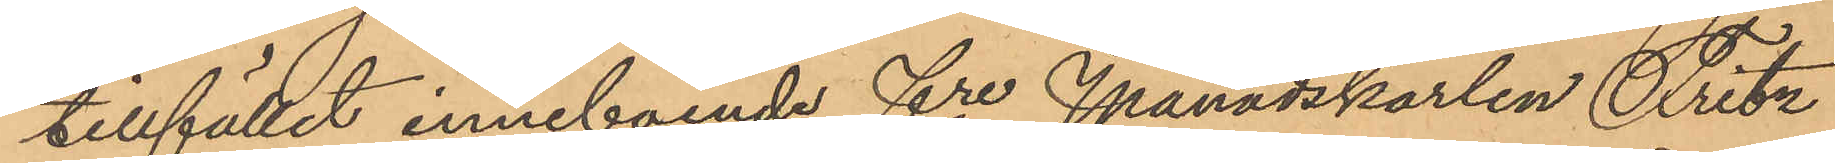tillfället inneboende fre Månadskarlen Fritz
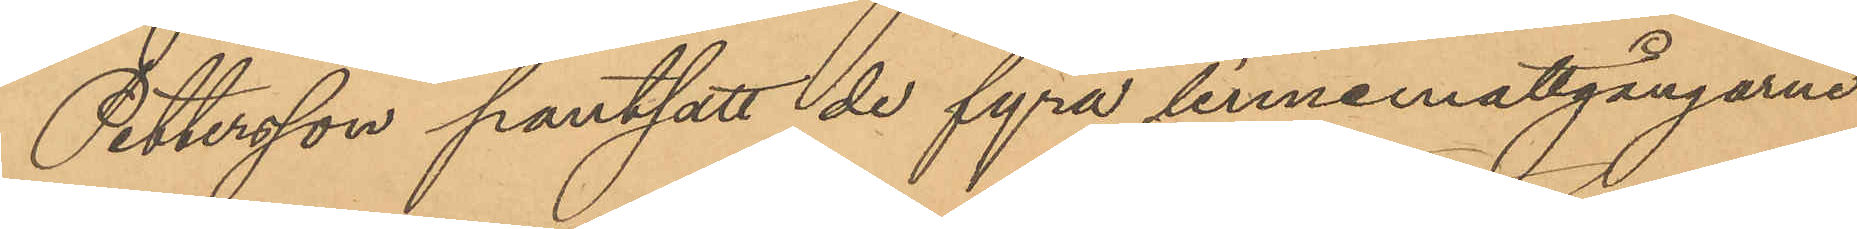Pettersson pantsatt de fyra linnemattgångarne
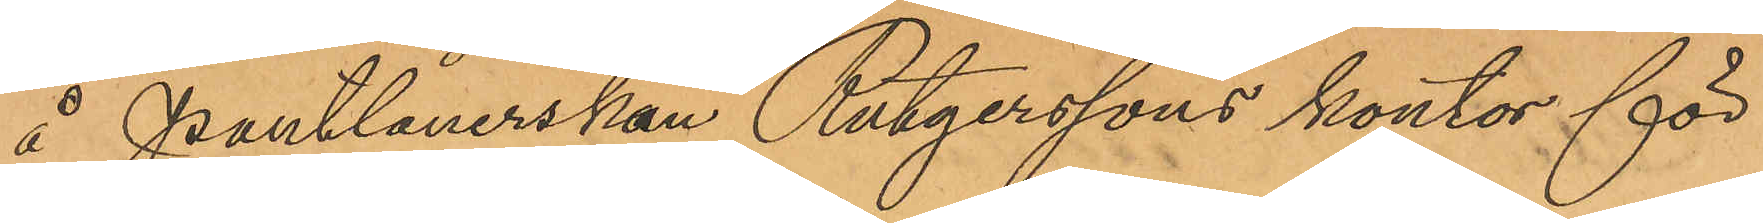å Pantlånerskan Rutgerssons kontor för
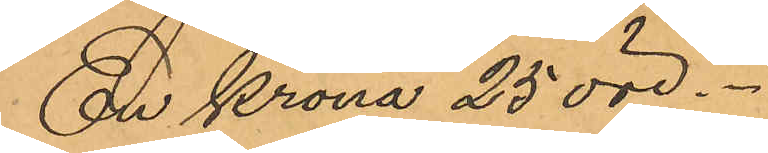En Krona 25 öre.
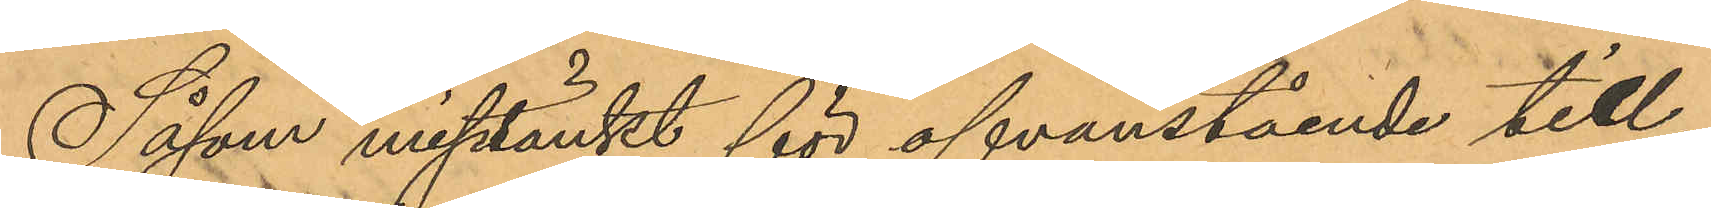Såsom misstänkt för ofvanstående till¬
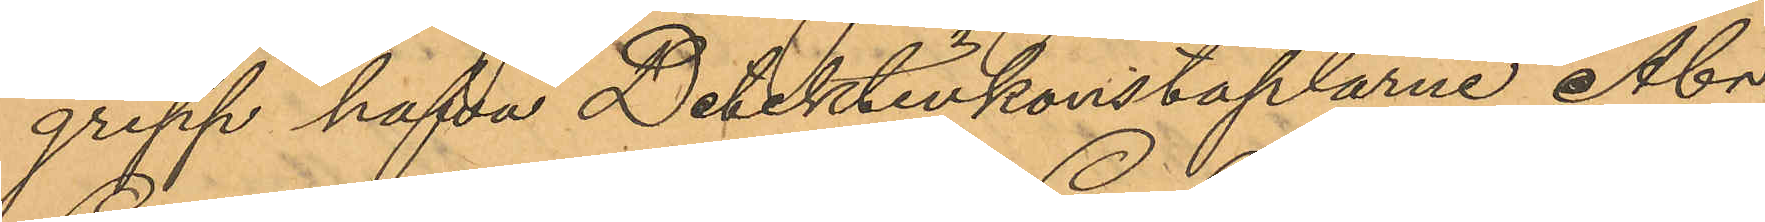grepp hafva Detektivkonstaplarne Abr.
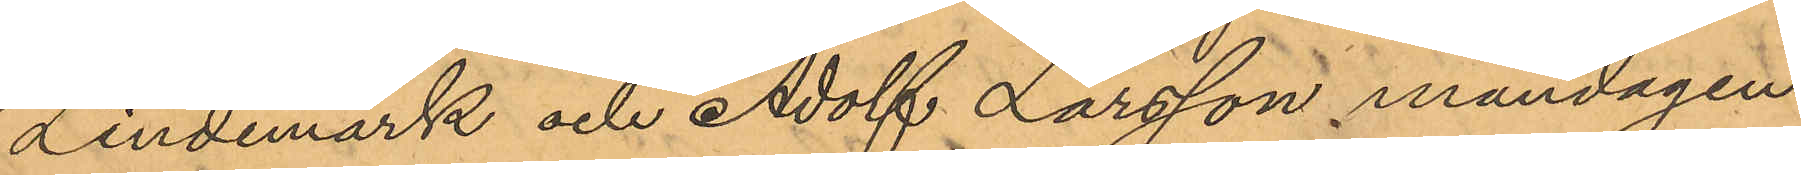Lindemark och Adolf Larsson måndagen
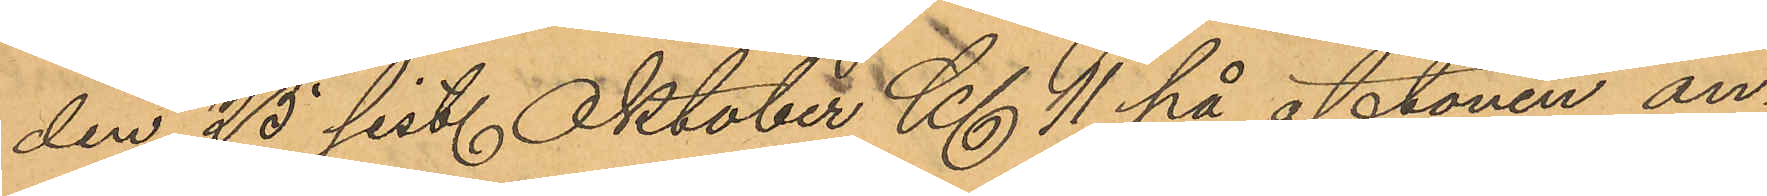den 25 sist. Oktober Kl. 11 på aftonen an¬
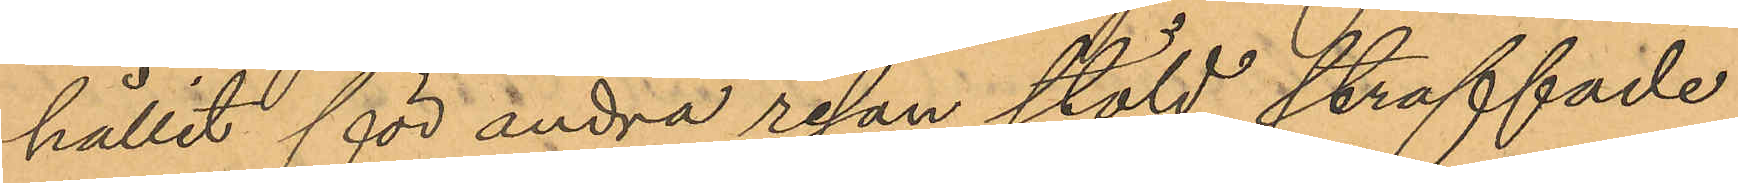hållit för andra resan stöld straffade
